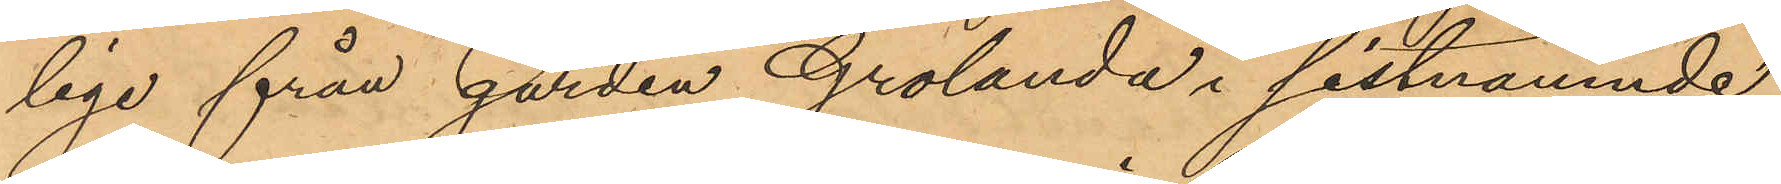lige från gården Grolanda i sistnämnde
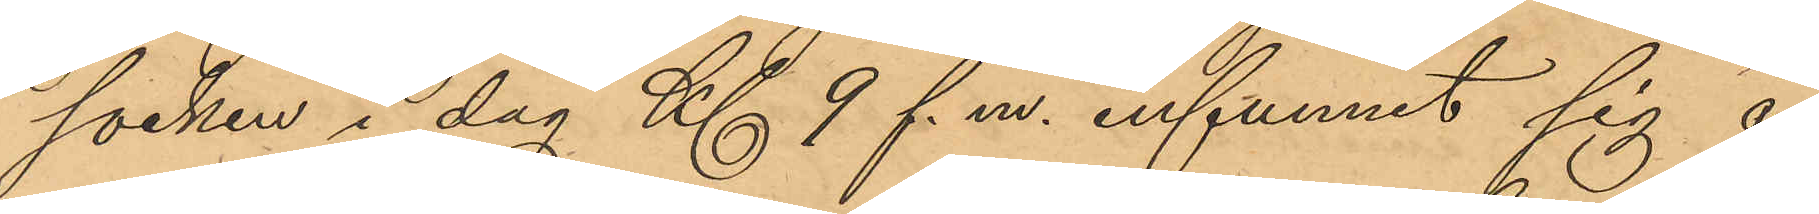socken i dag Kl 9 f. m. infunnit sig å
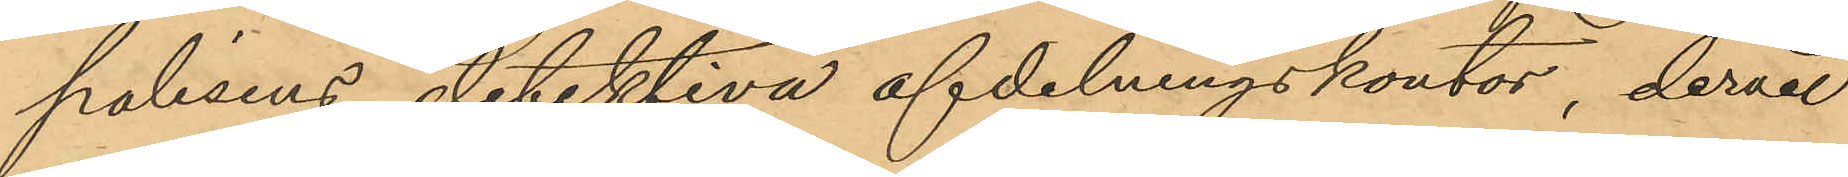polisens detektiva afdelningskontor, dervid
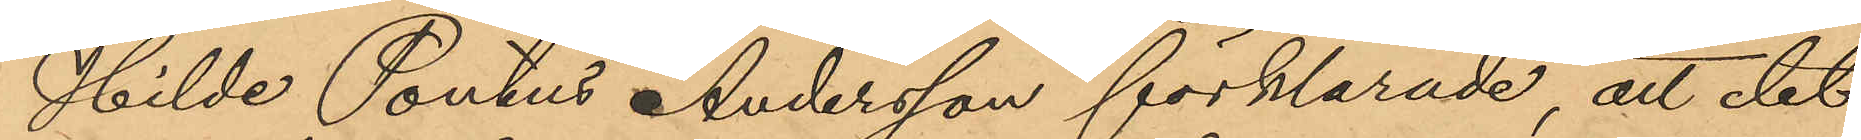Hilde Pontus Andersson förklarade, att det
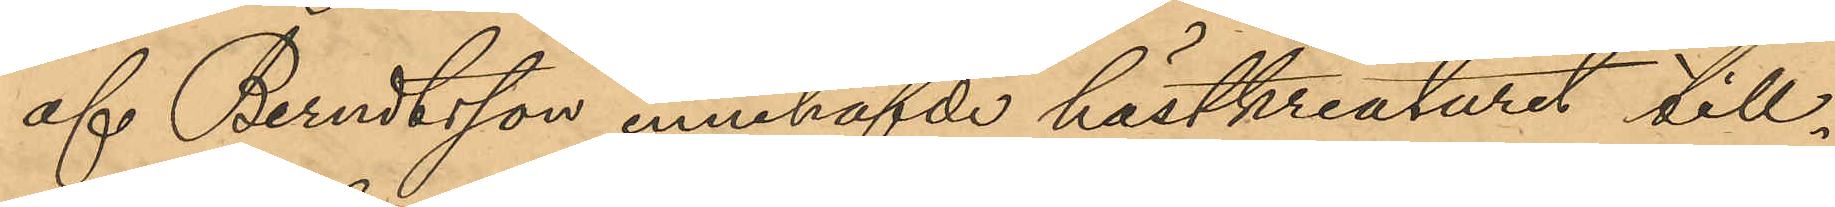af Berndtsson innehafvde hästkreaturet till¬
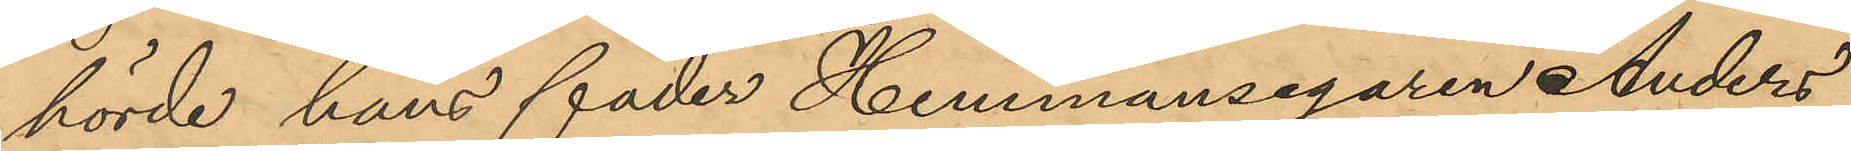hörde hans fader Hemmansegaren Anders
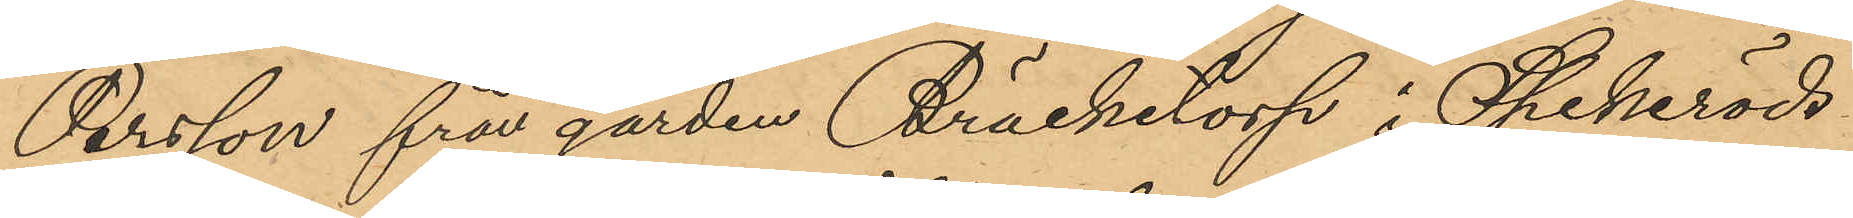Persson från gården Bräcketorp i Spekeröds
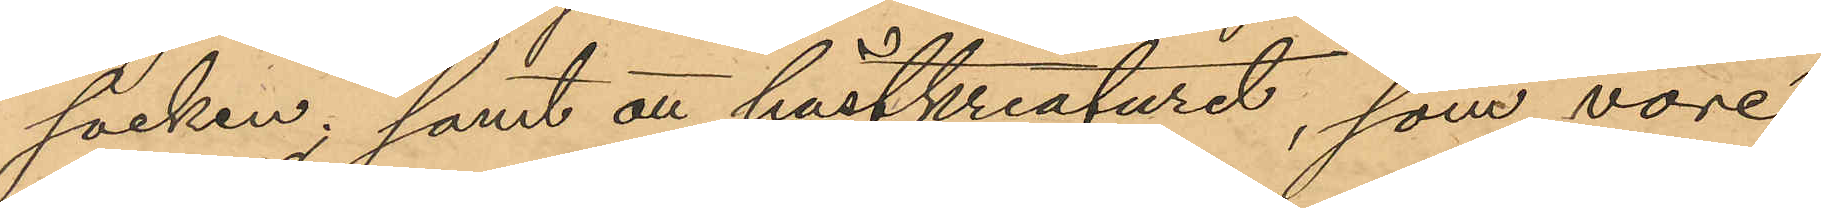socken; samt att hästkreaturet, som vore
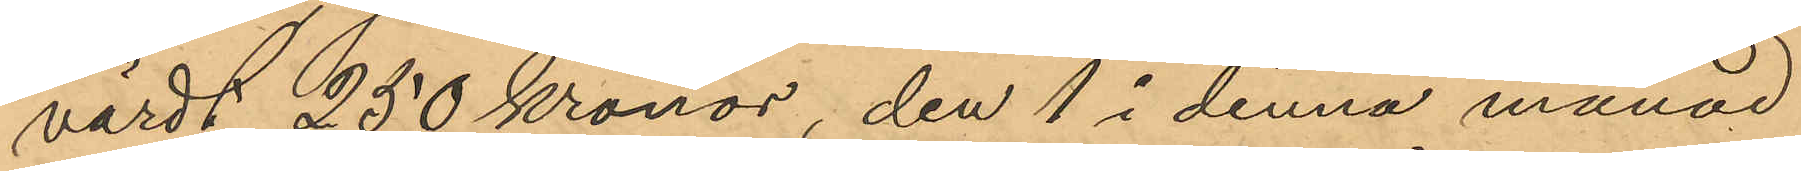värdt 250 kronor, den 1 i denna månad
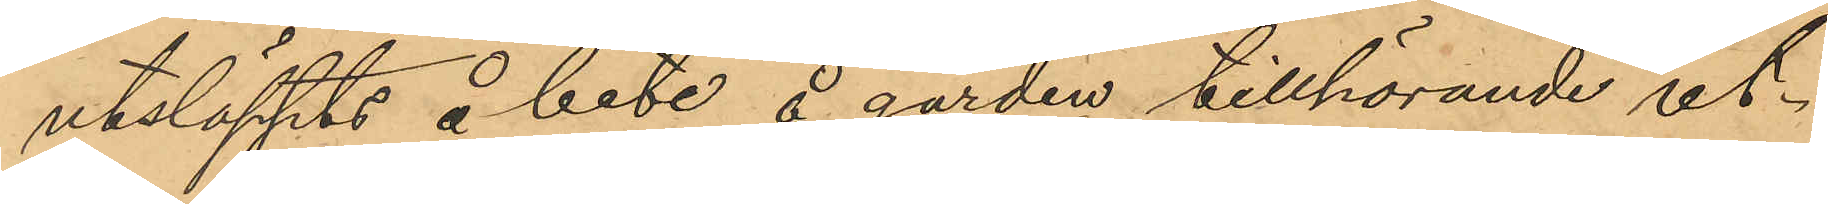utsläppts å bete å gården tillhörande ut¬
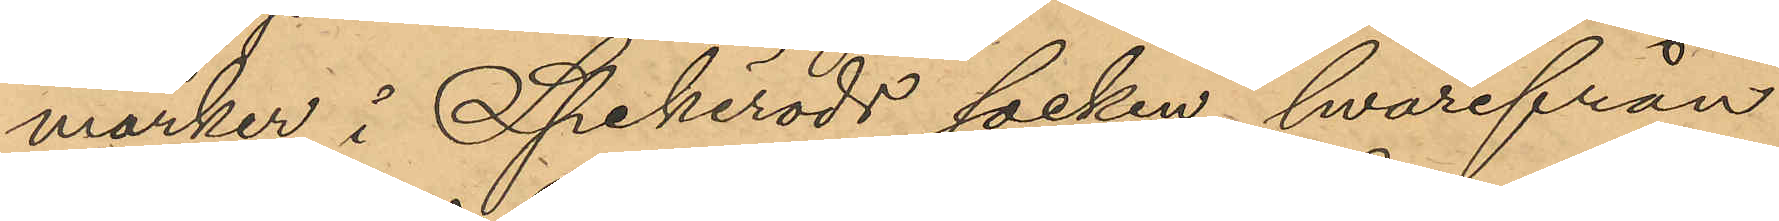marker i Spekeröds socken, hvarifrån
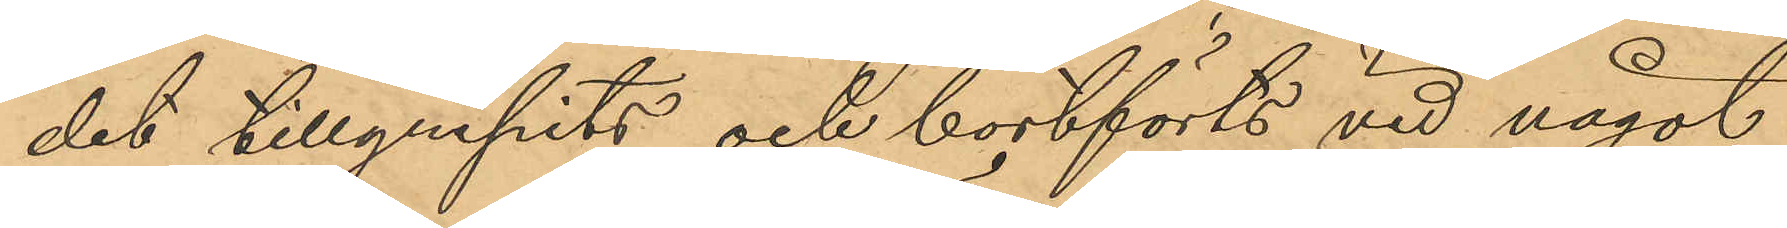det tillgripits och bortförts vid något
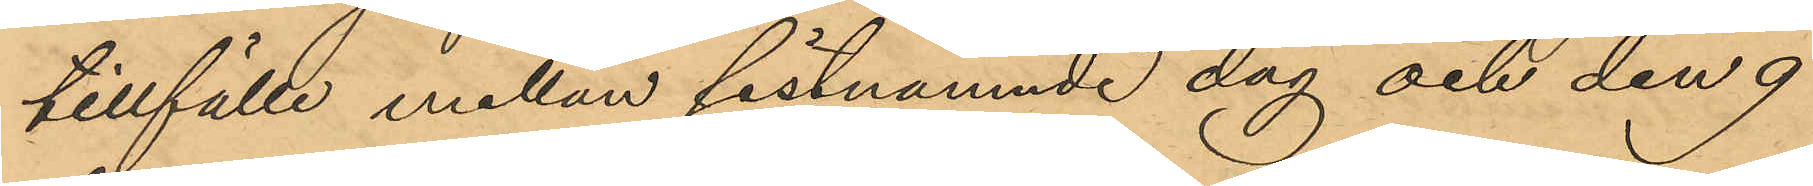tillfälle mellan sistnämnde dag och den 9
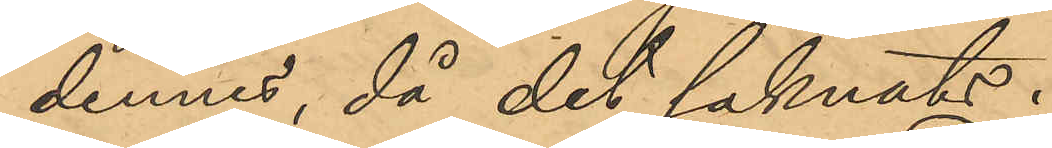dennes, då det saknats.
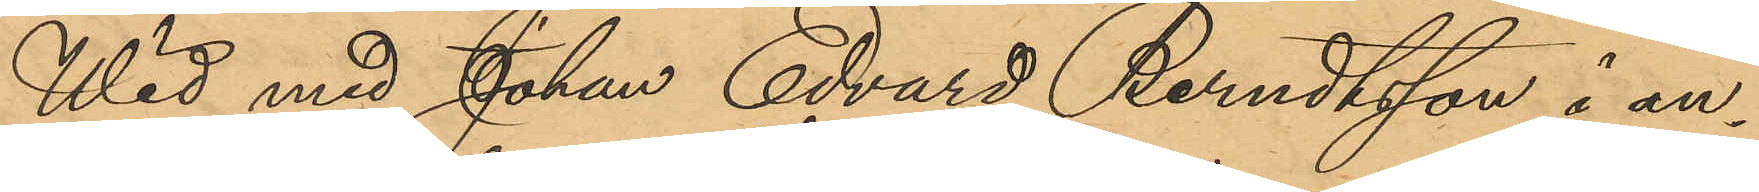Wid med Johan Edvard Berndtsson i an¬
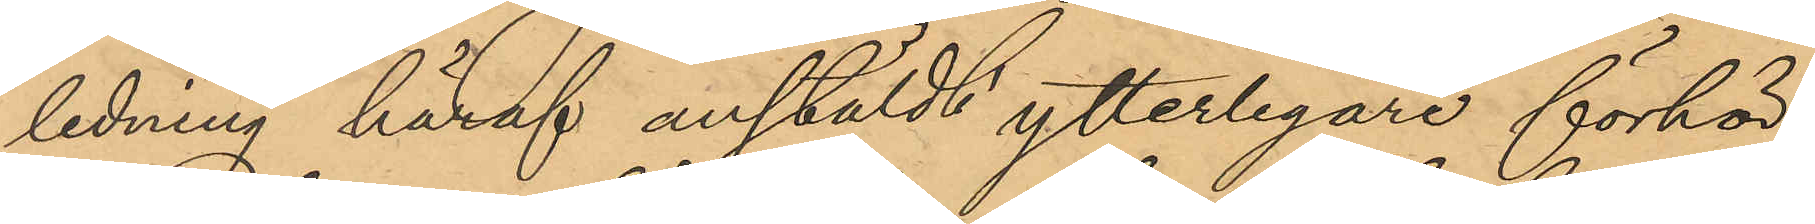ledning häraf anstäldt ytterligare förhör,
